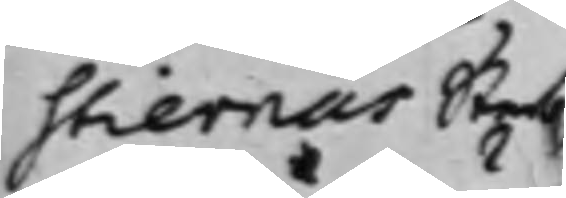stiernas Sterb¬
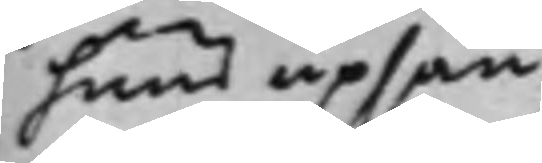huus upsän¬
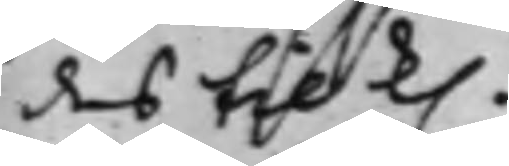des till k.
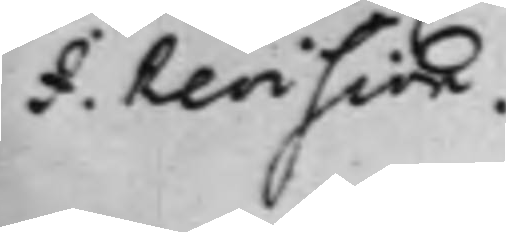I.Revision
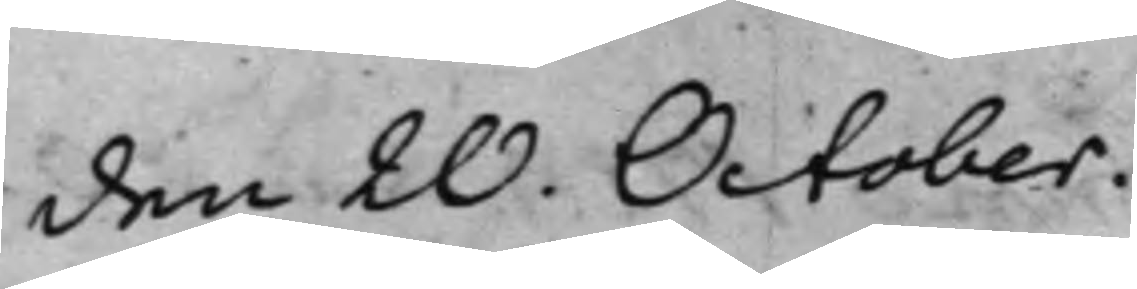den 20. October
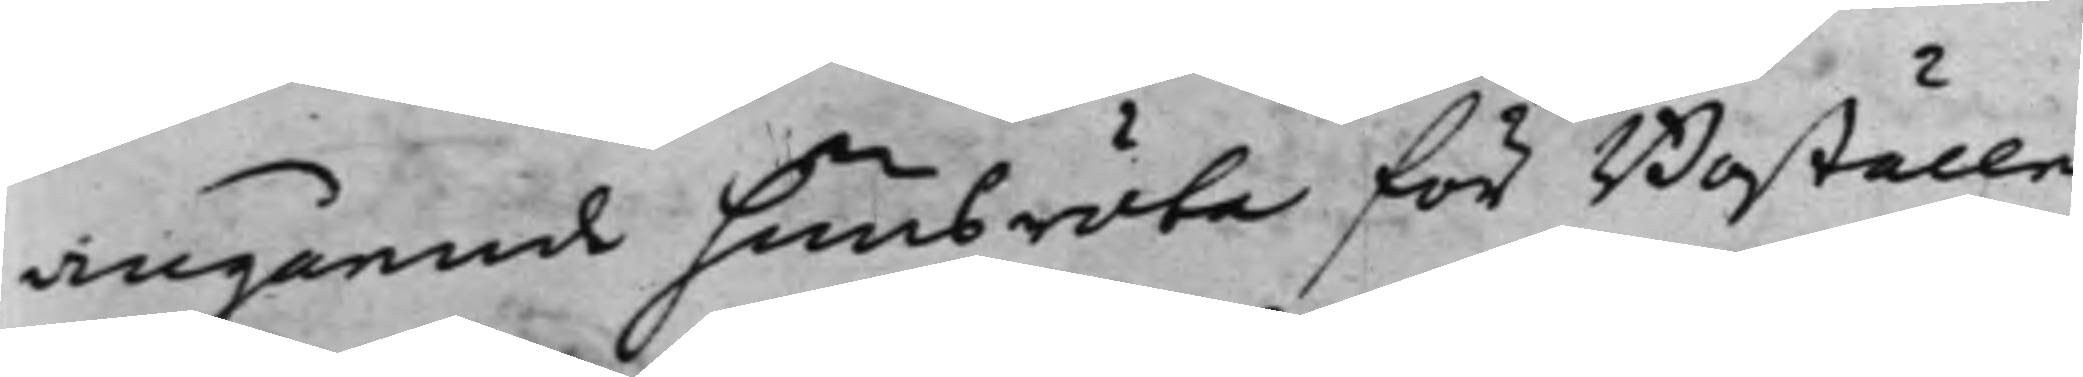angående huusröta för Boställe
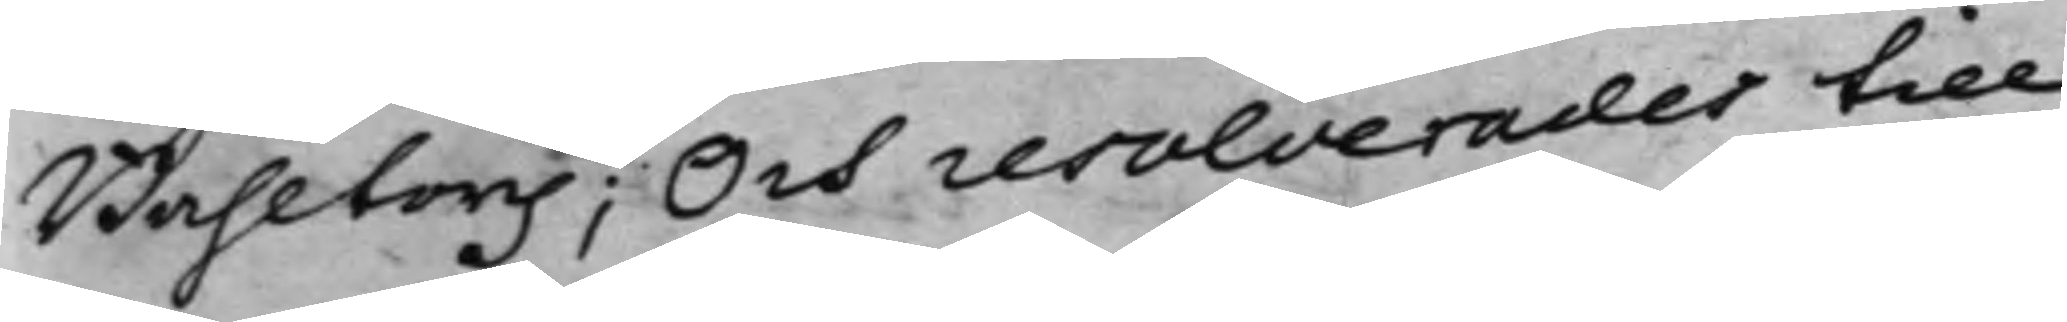Bahltorp; Och resolverades till
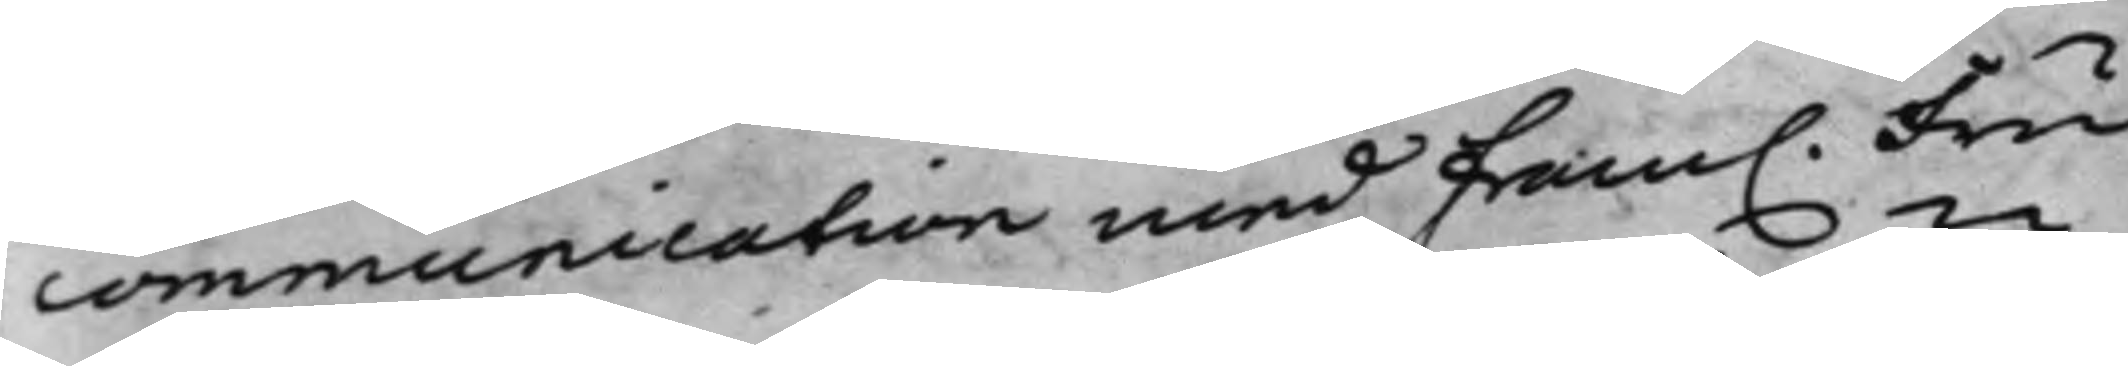communication med fram. Fru
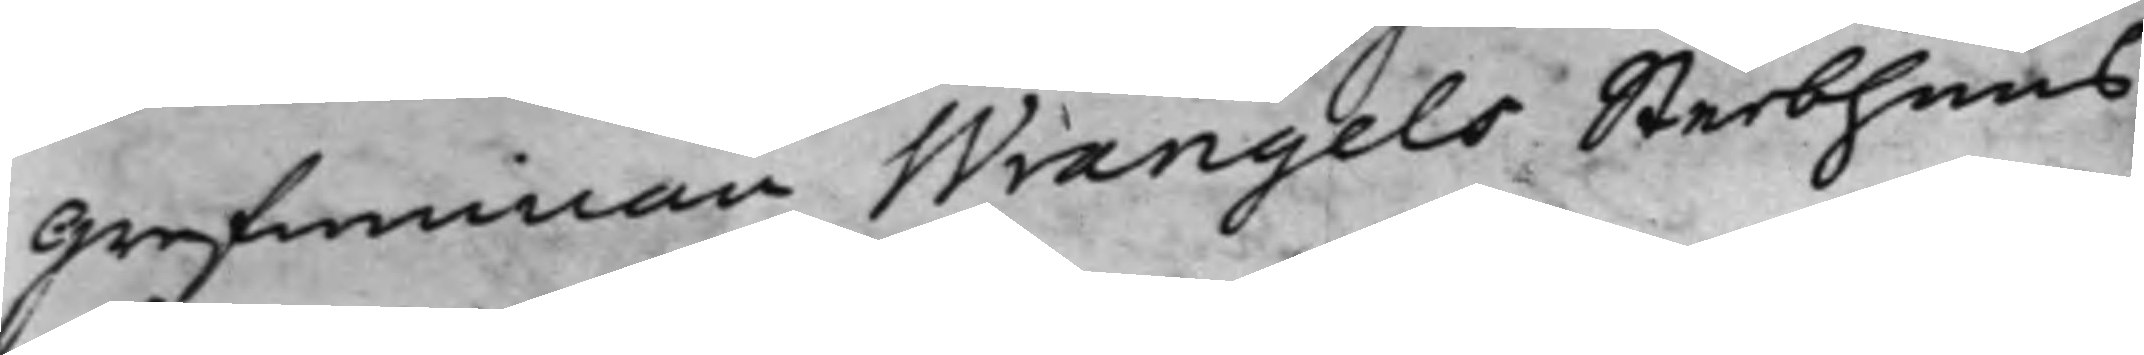Grefwinnan Wrangels Sterbhuus
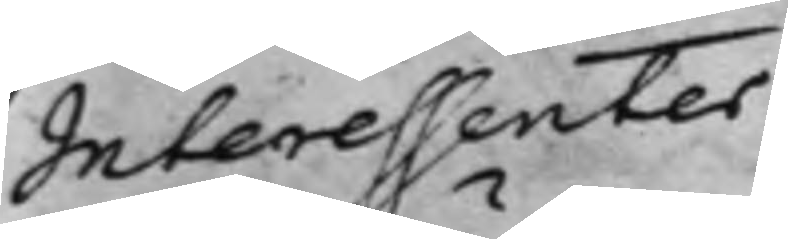Interessenter.
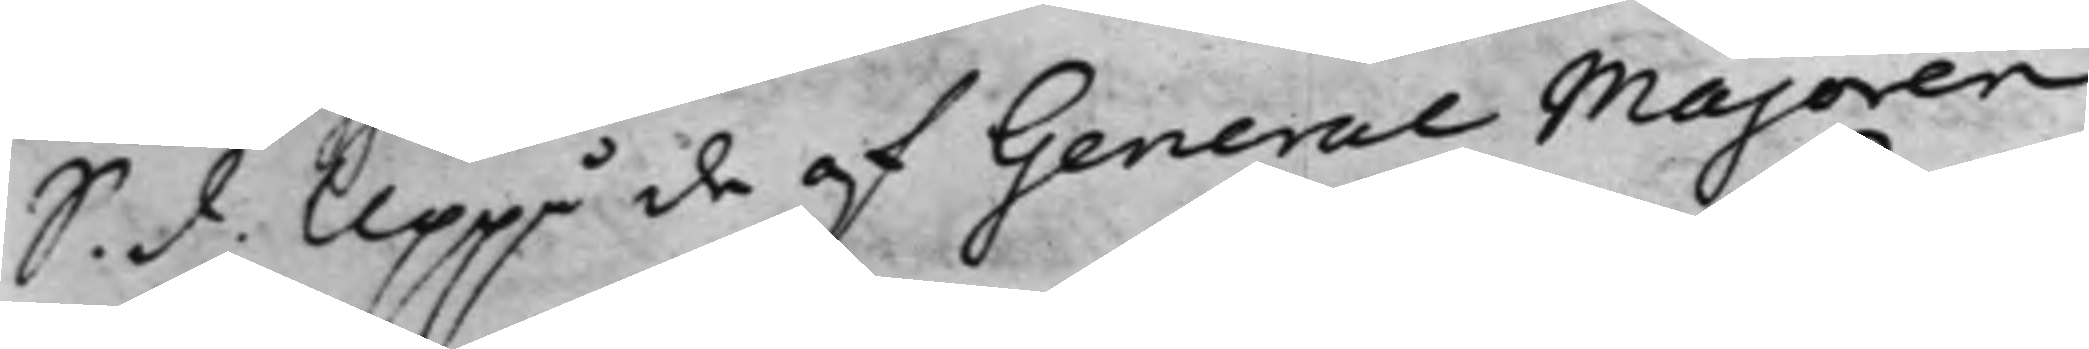S. d. Uppå de af General Majoren
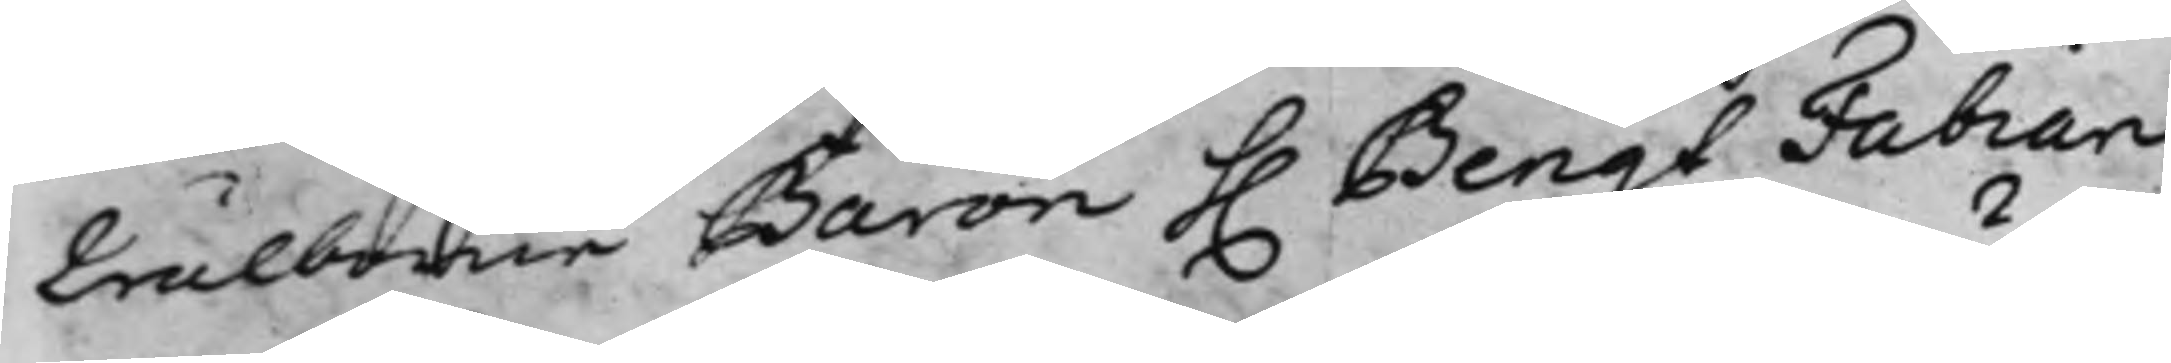Wälborne Baron h. Bengt Fabian
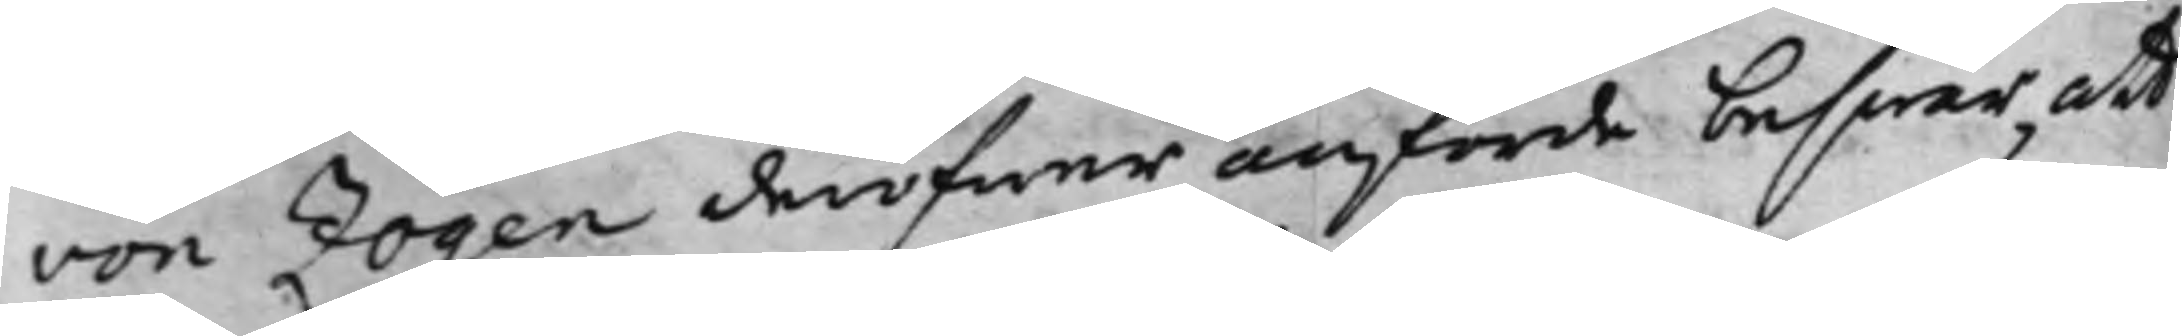von Zögen deröfwer anförde beswär, att
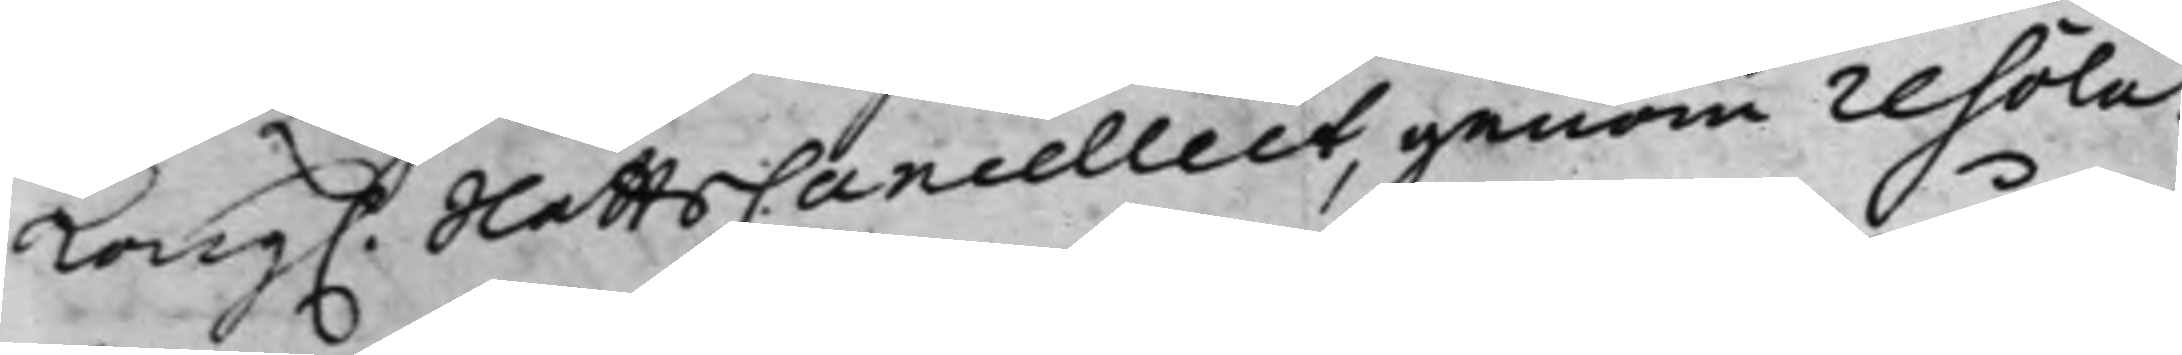Kong. SlottsCancelliet, genom resolu¬
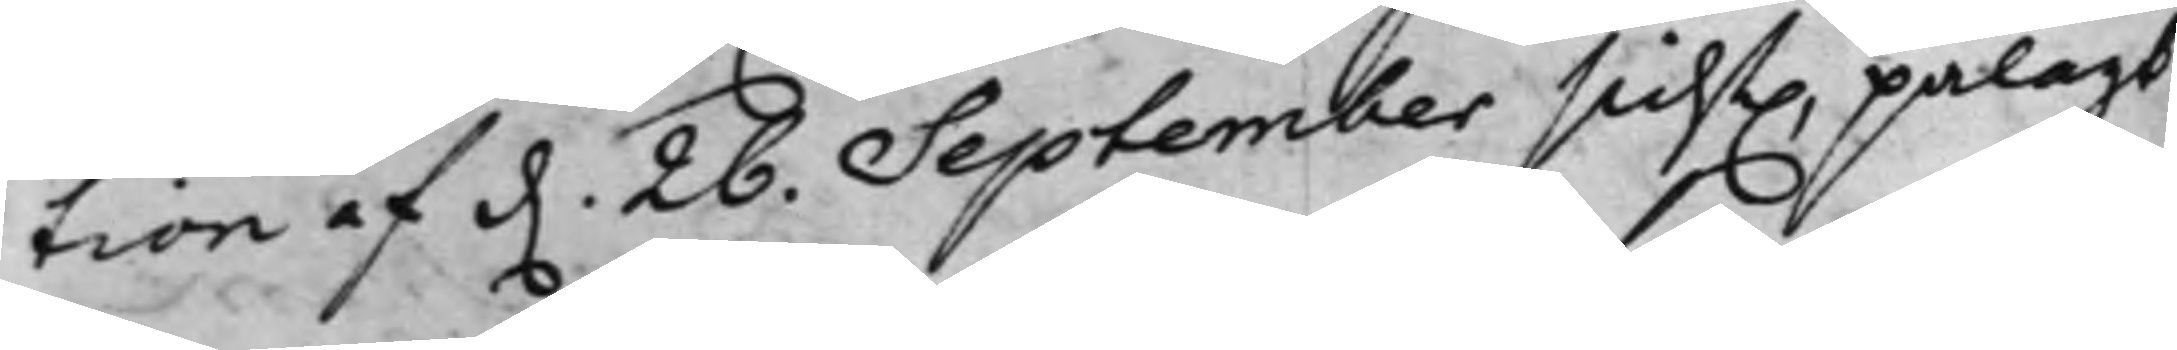tion af d. 26. September sidst. pålagt
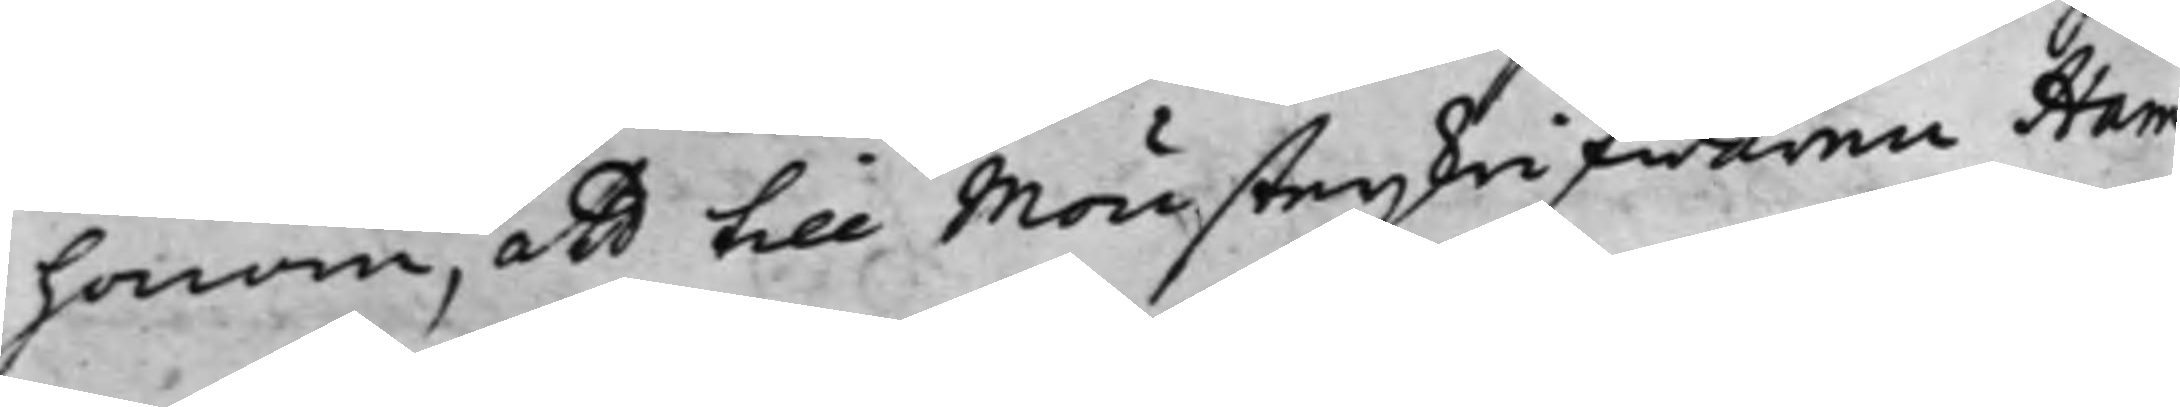honom, att till Mönsterskrifwaren Ham¬
